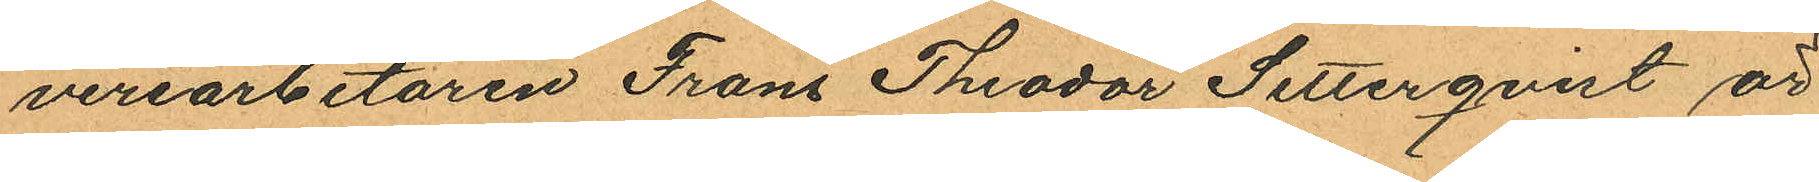veriarbetaren Frans Theodor Setterqvist är
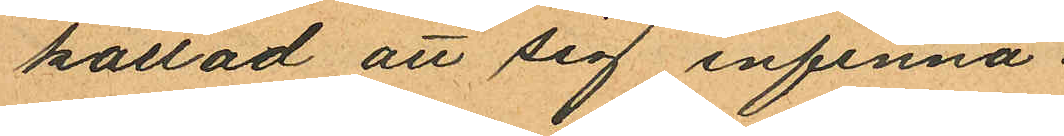kallad att sig infinna.
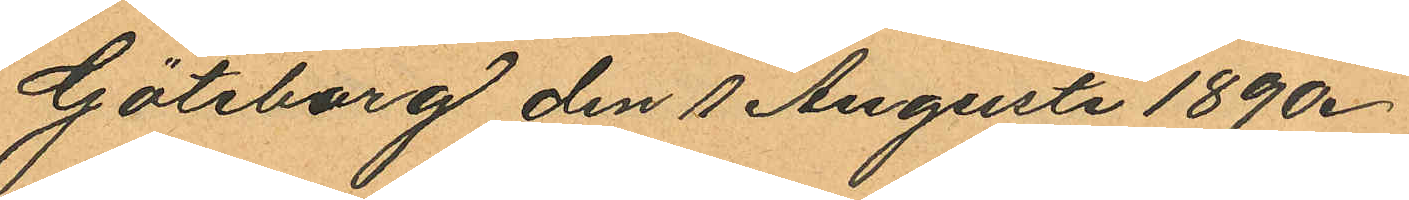Göteborg den 1 Augusti 1890.
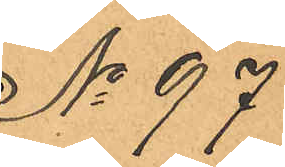No 97
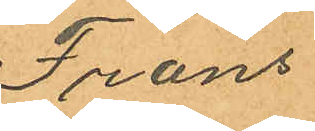Frans
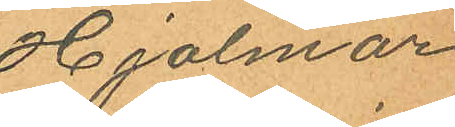Hjalmar
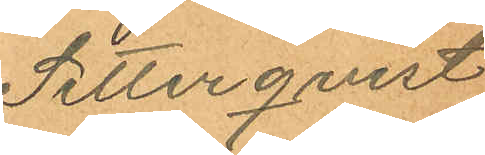Setterqvist
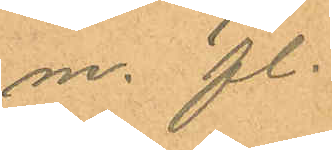m. fl.
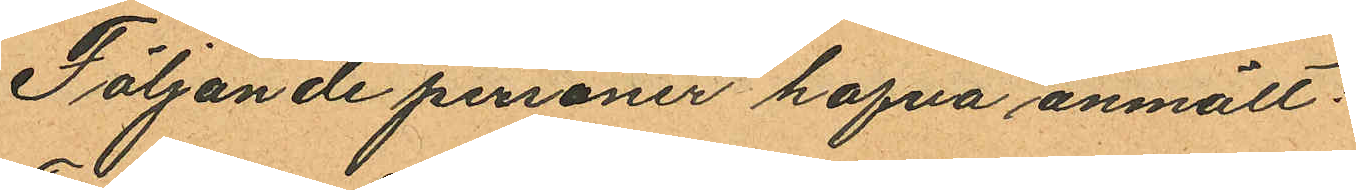Följande personer hafva anmält:
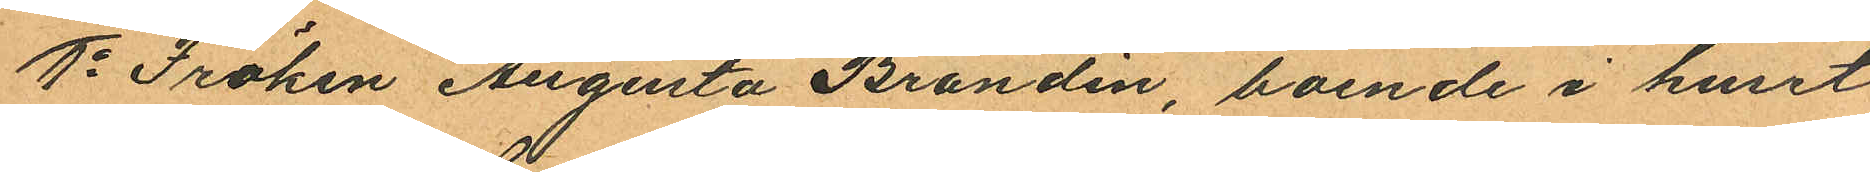1o Fröken Augusta Brandin, boende i huset
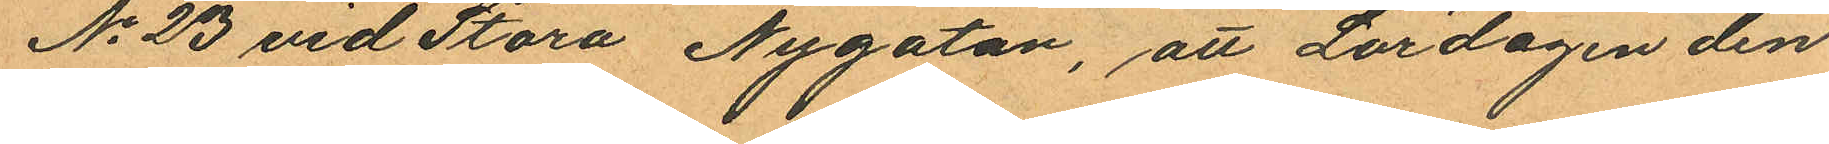No 23 vid Stora Nygatan, att Lördagen den
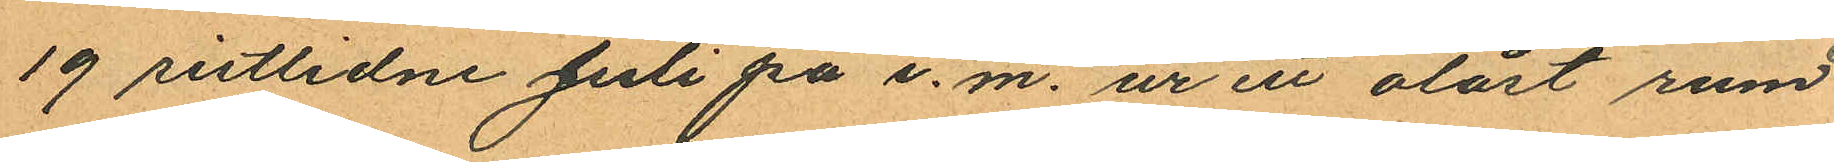19 sistlidne Juli på e. m. ur ett olåst rum
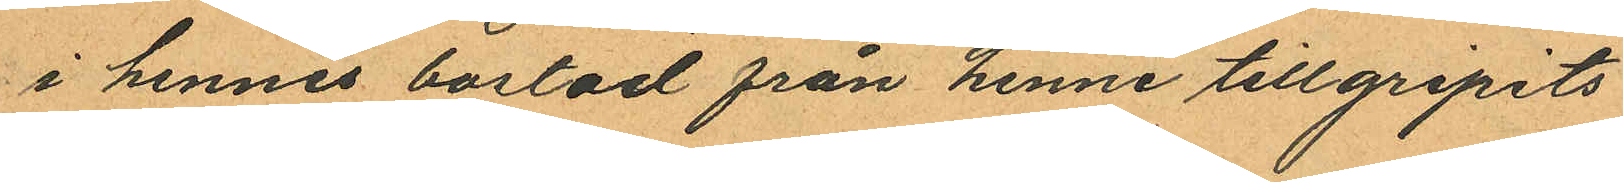i hennes bostad från henne tillgripits
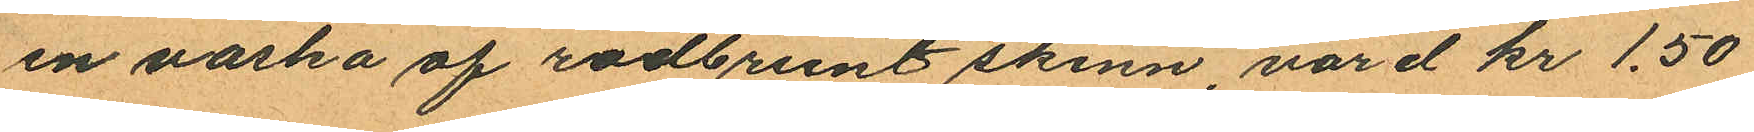en vaska af rödbrunt skinn, värd kr 1.50
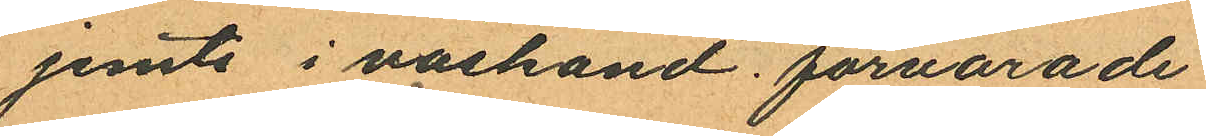jemte i väskand förvarade
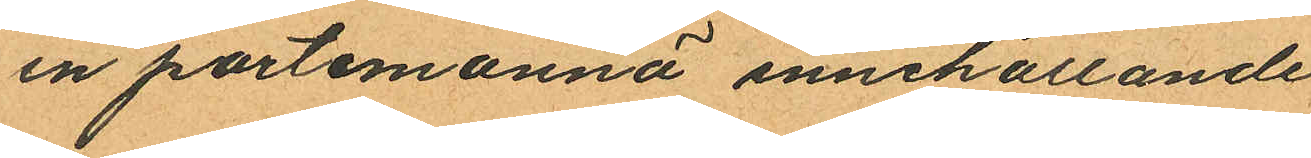en portemonnä innehållande
